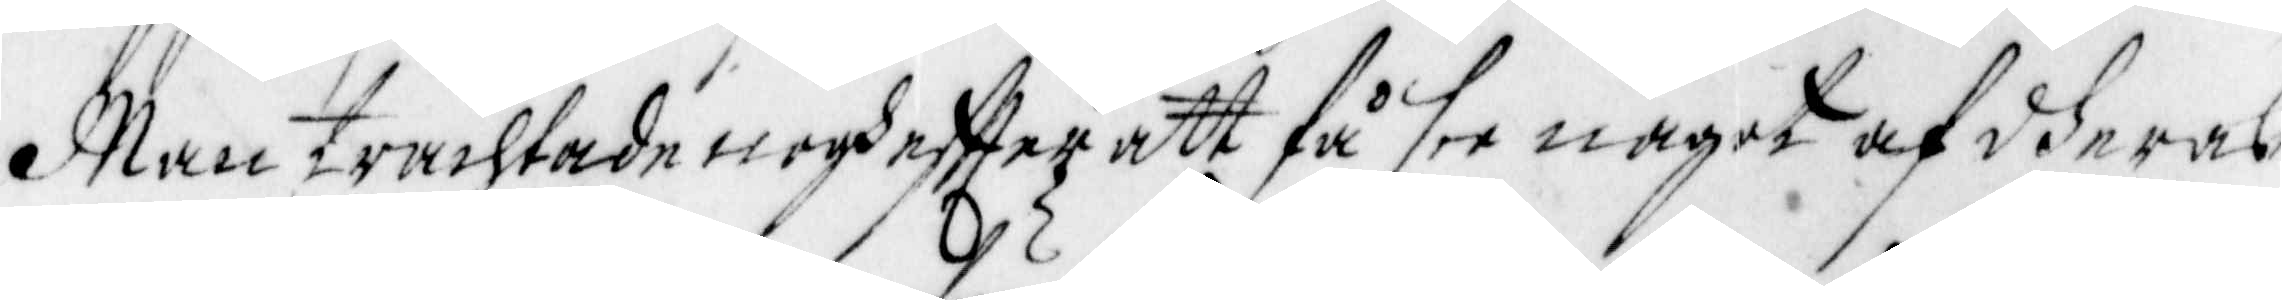Man trachtade nogh effter att få see något af deras
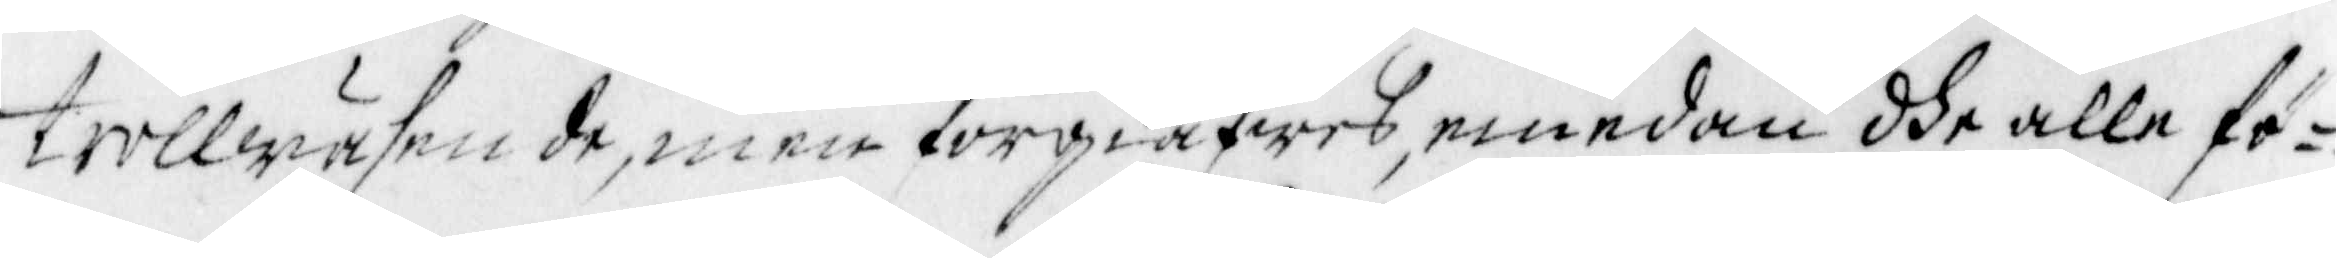trollwäsende, men förgiäfwes, emedan dhe alle fö¬
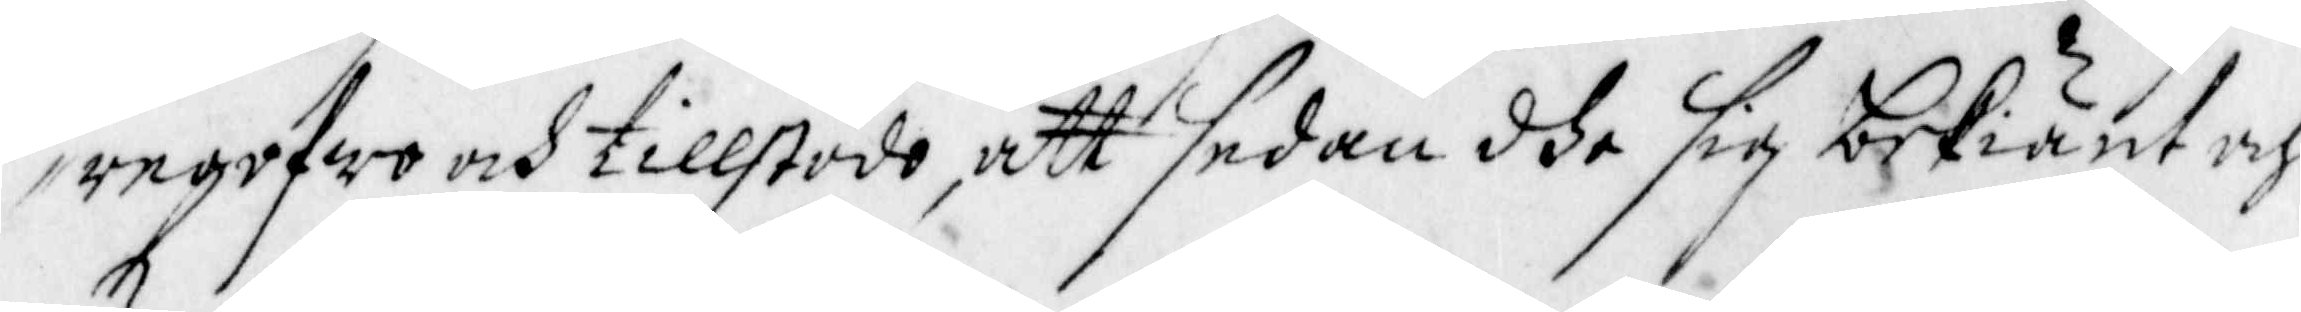regofwo och tillstodo, att sedan dhe sig bekiänt och
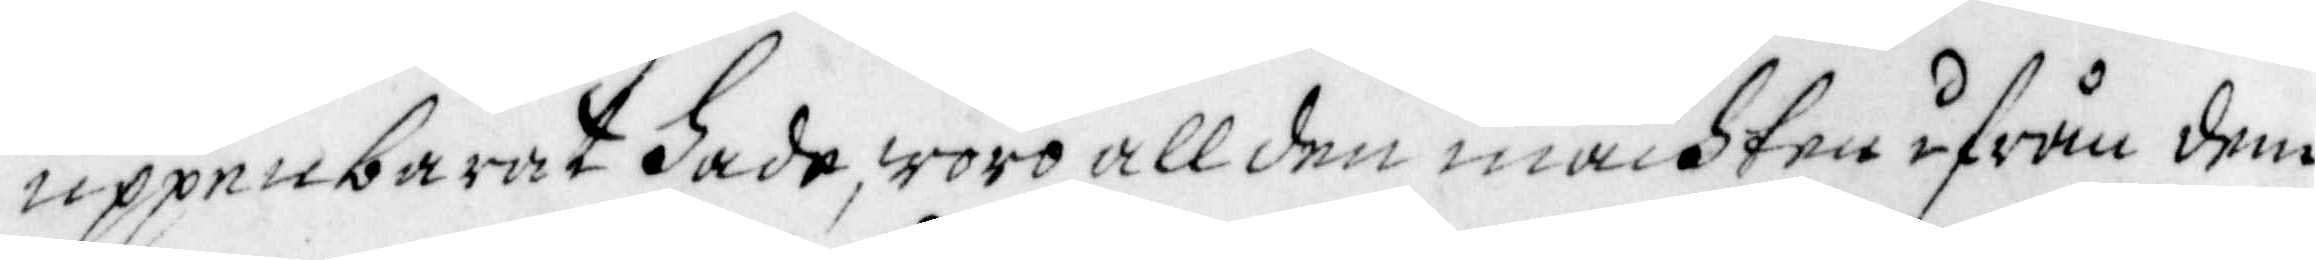uppenbarat hade, woro all den machten ifrån dem
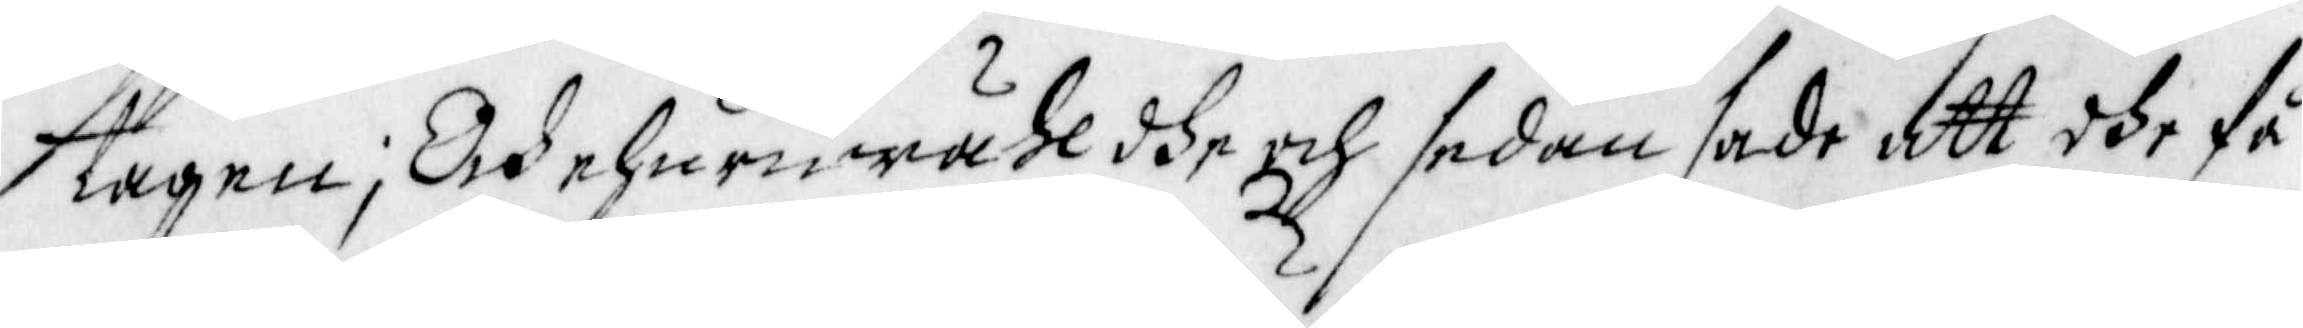tagen; Och ehuruwähl dhe och sedan sade att dhe få
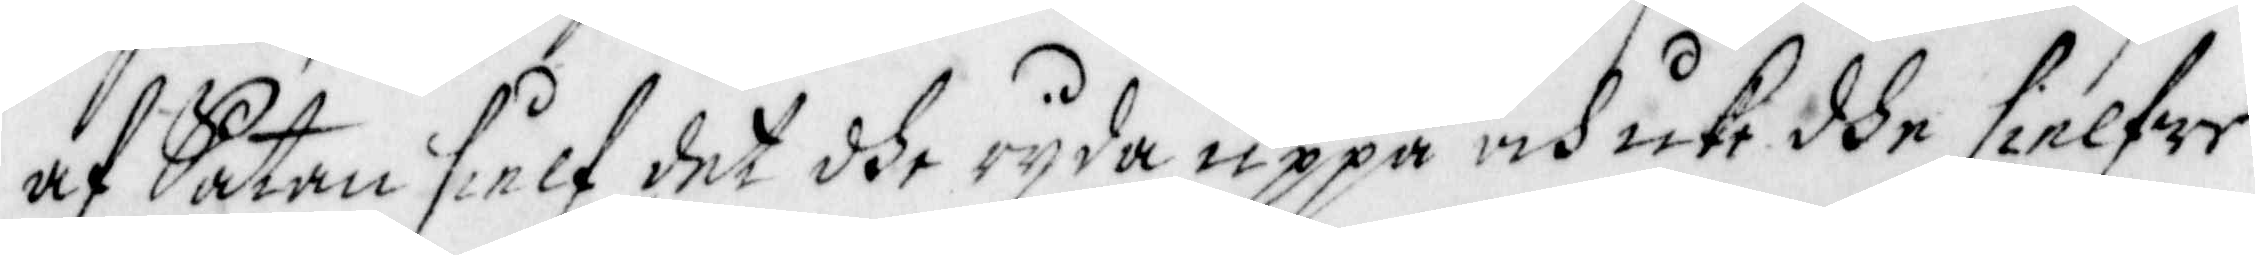af Satan sielf det dhe ryda uppå och icke dhe sielfwe.
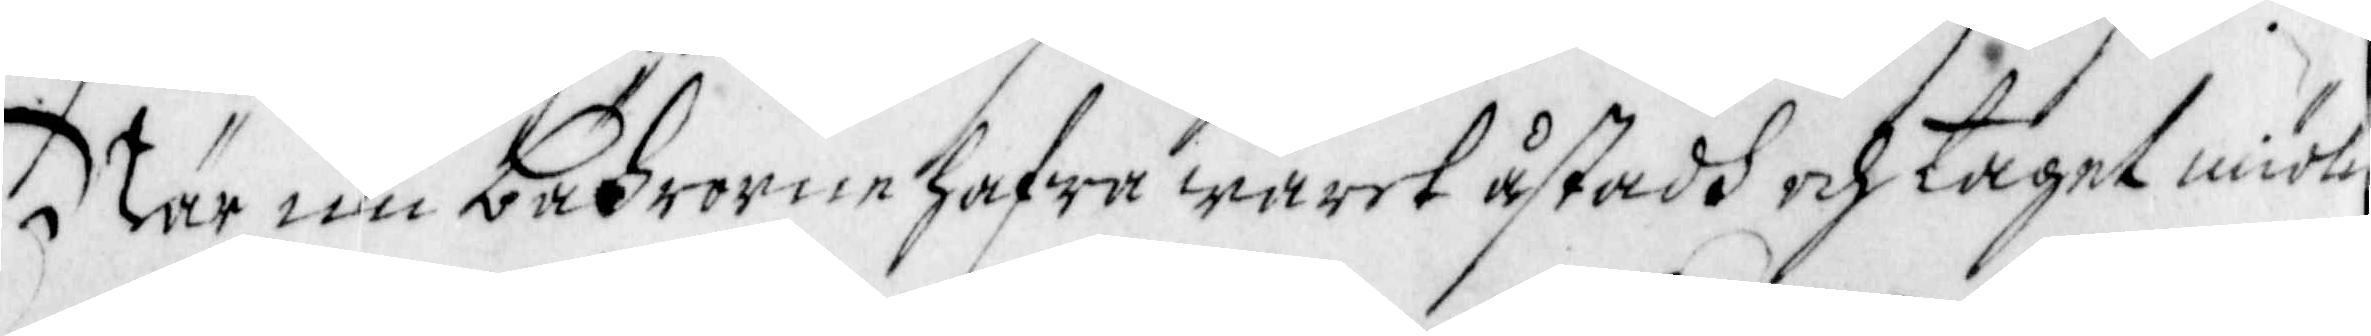När nu bährorne hafwa warit åstadh och taget miölk
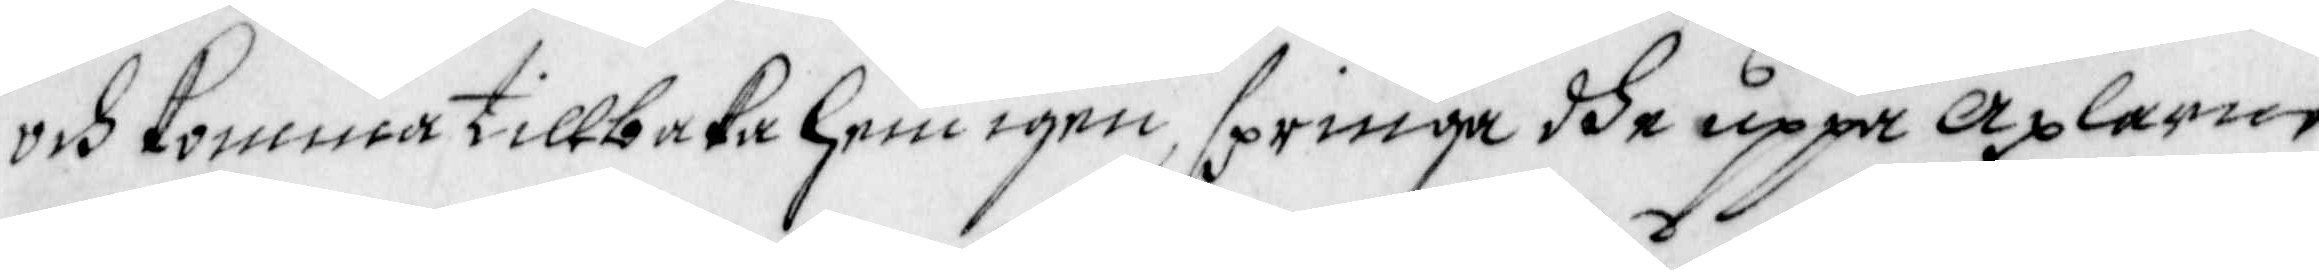och komma tillbaka hem igen, springa dhe uppå axlarne
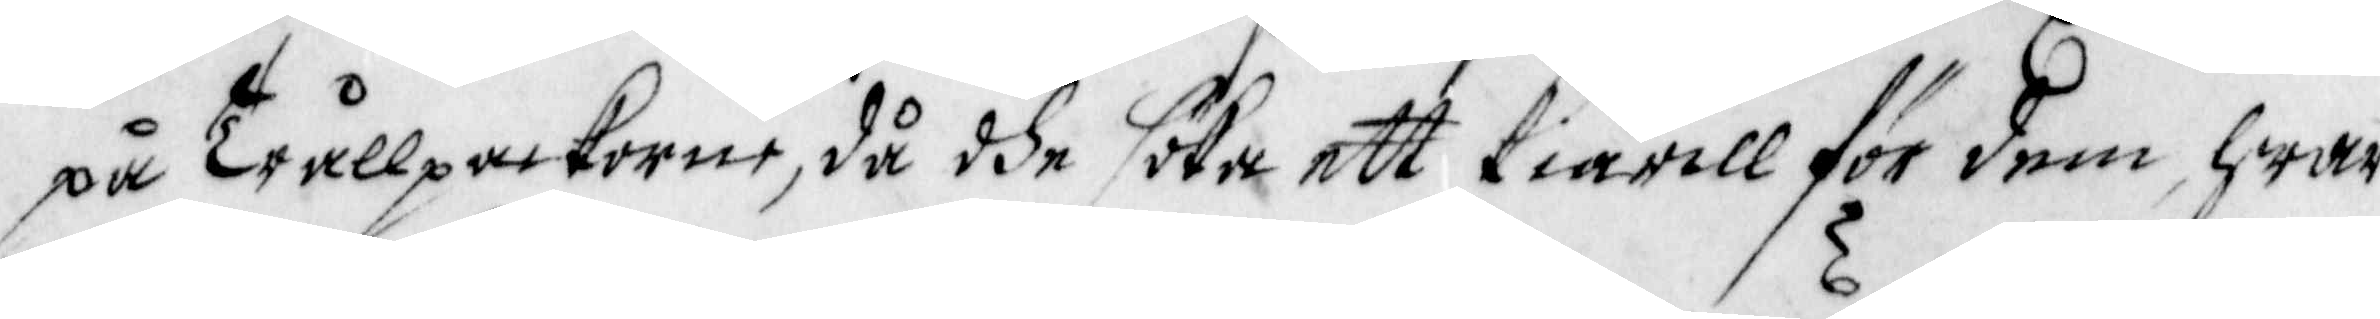på Trållpackorne, då dhe söka ett kiärill för dem hwar
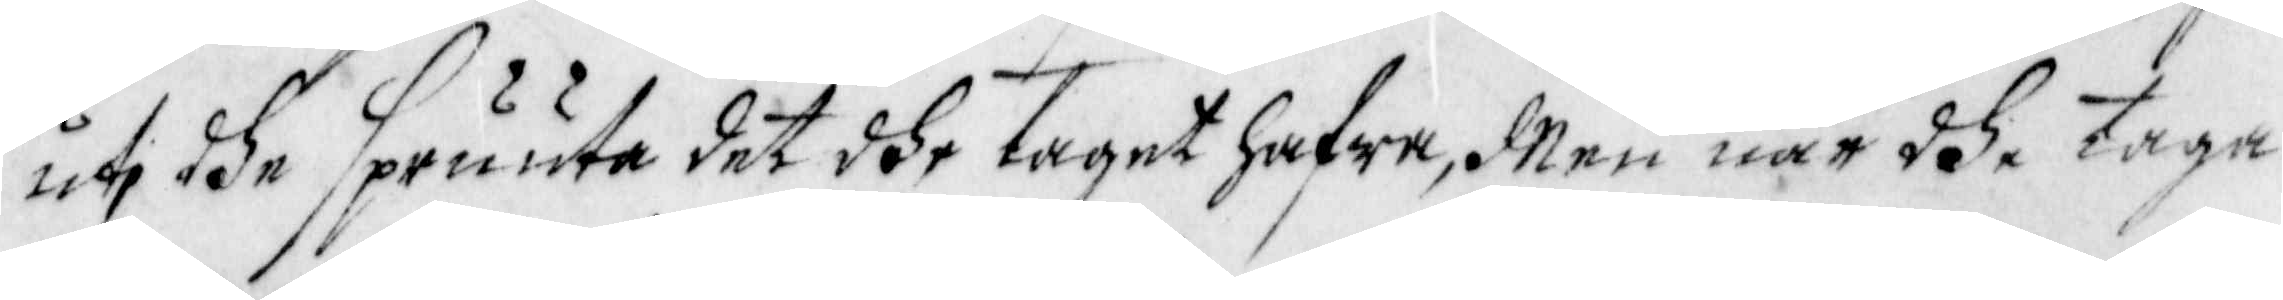uti dhe spruuta det dhe taget hafwa, Men när dhe taga
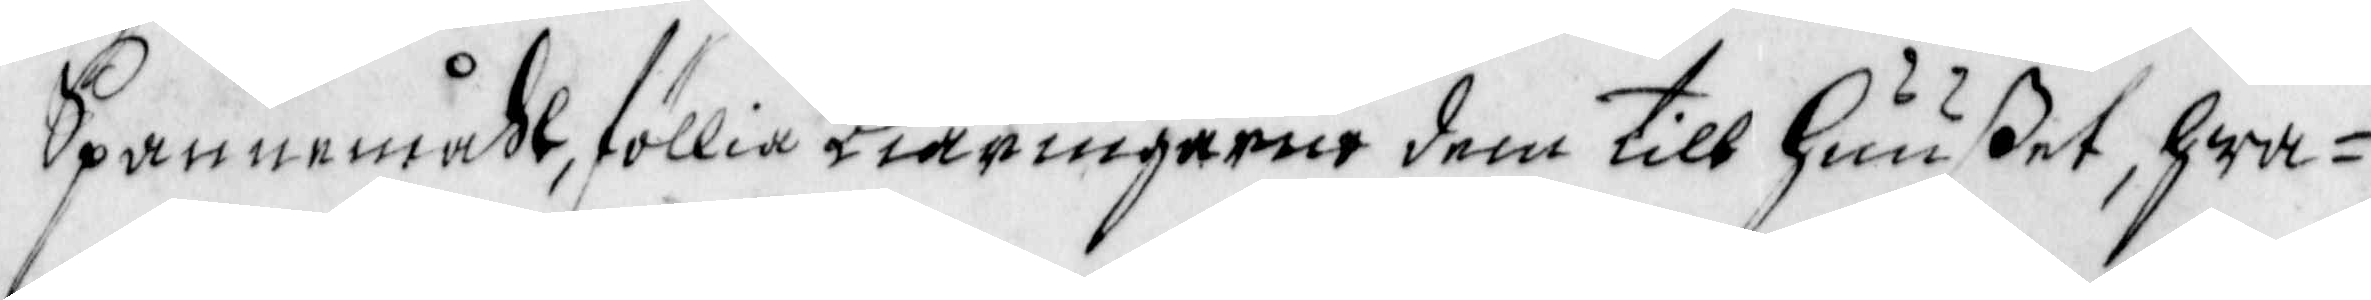Spannemåhl, föllia Kiäringarne dem till Huuset, hwa¬
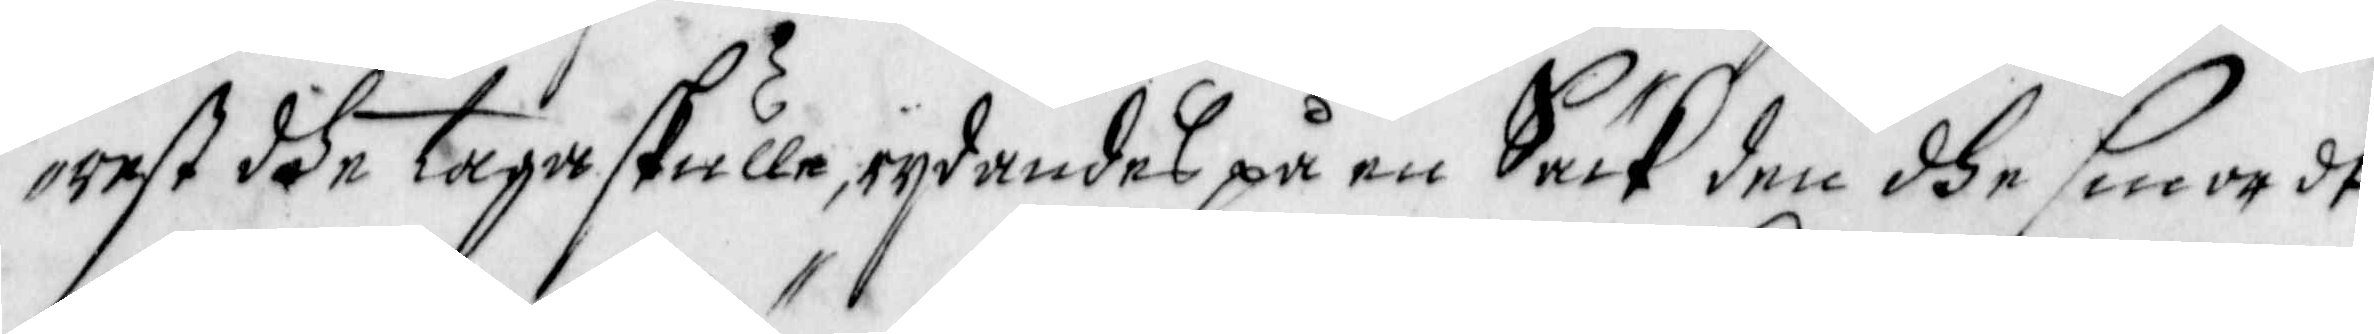rest dhe taga skulle, rydandes på en Säck den dhe smordt
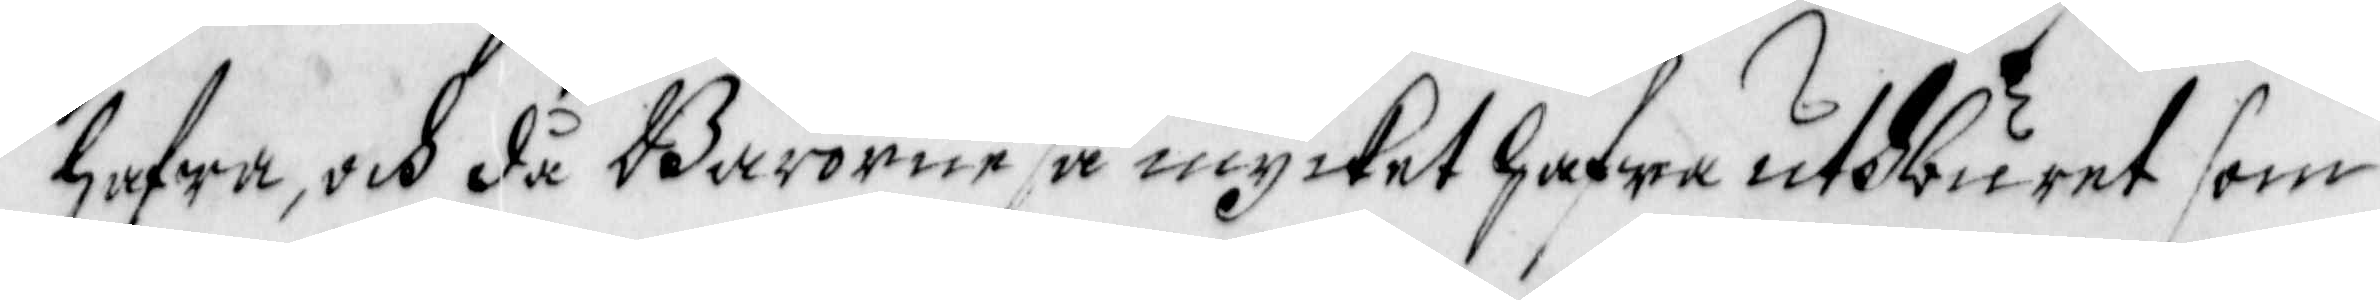hafwa, och då Bärorne så mycket hafwa uthburet som
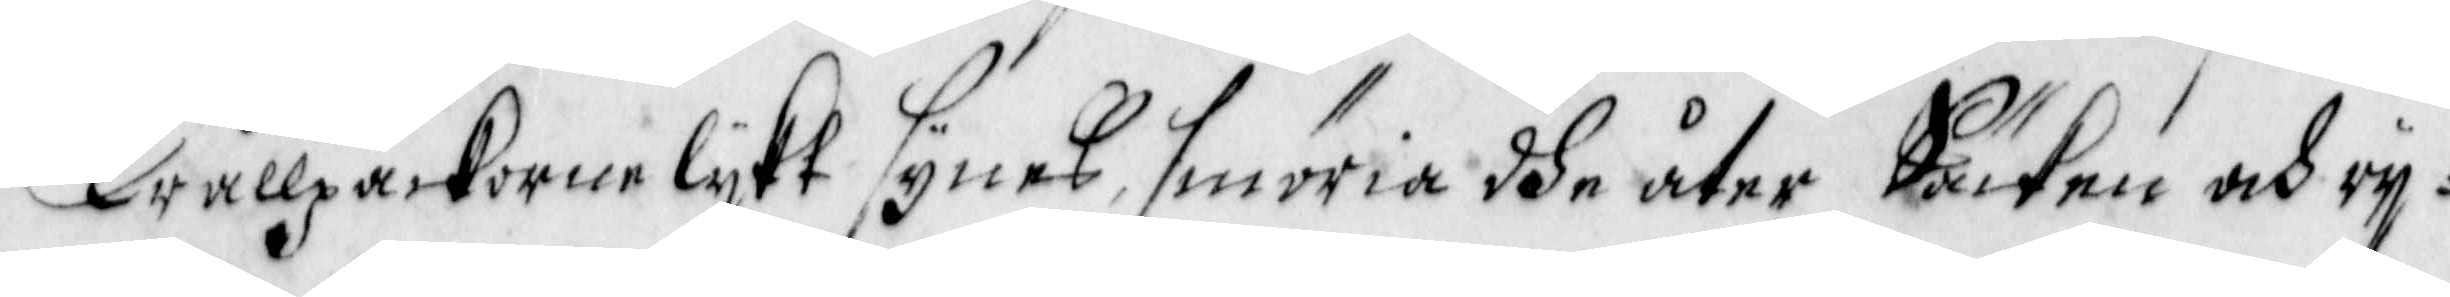Trållpackorne lykt synes, smöria dhe åter Säcken och ry¬
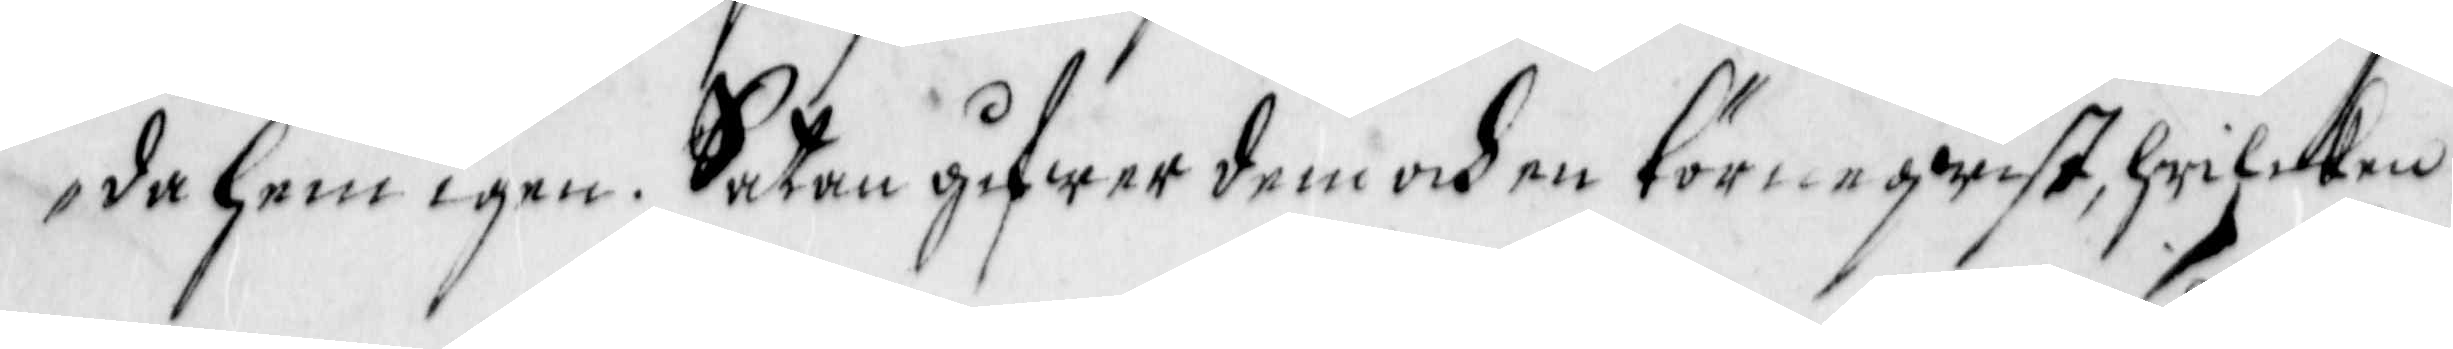da hem igen. Satan gifwer dem och en Törneqwist, hwilken
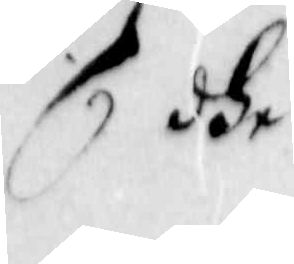dhe
